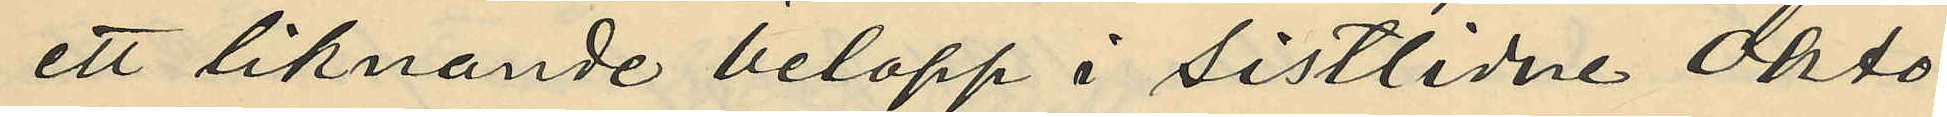ett liknande belopp i sistlidne Okto¬
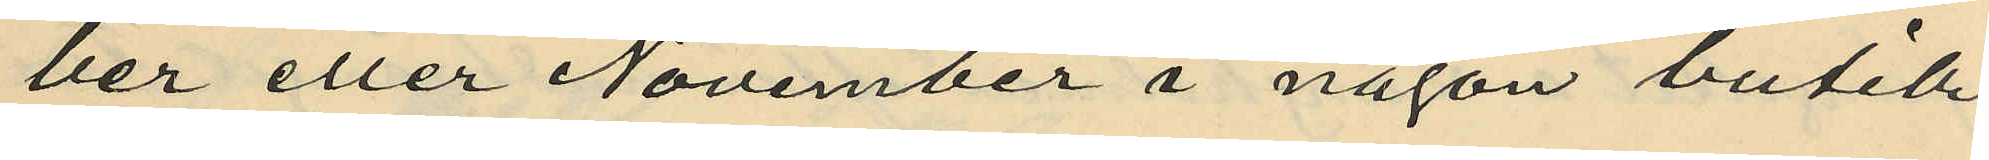ber eller November i någon butik
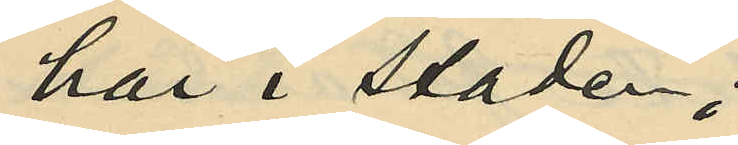här i staden;
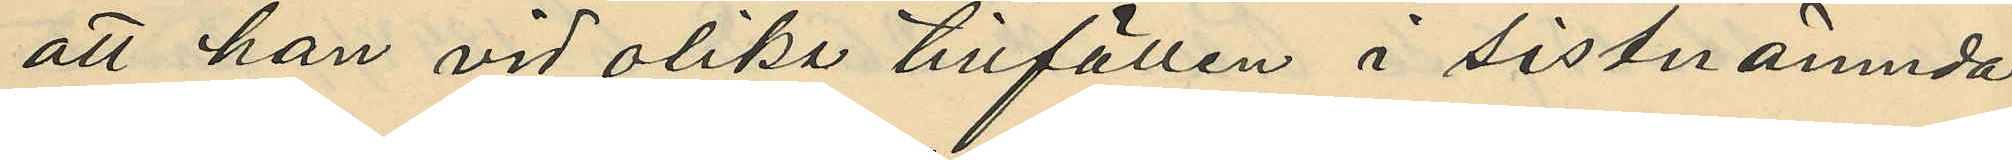att han vid olika tillfällen i sistnämnda
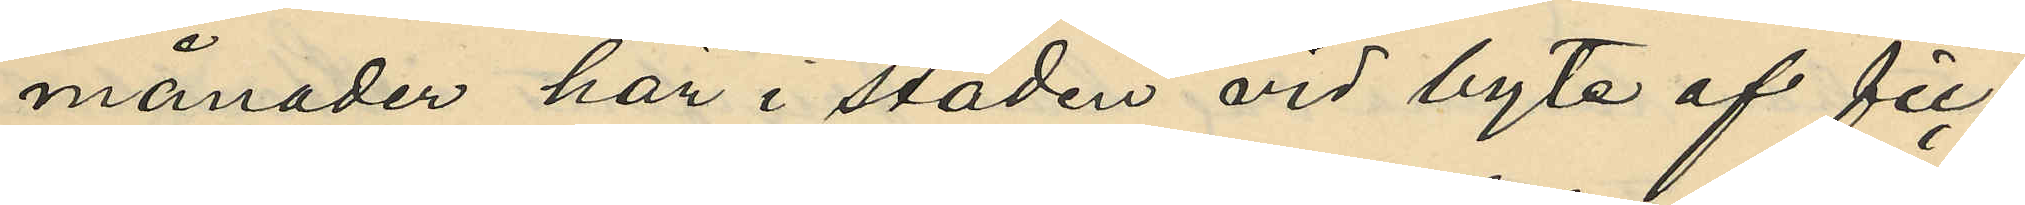månader här i staden vid byte af fic¬
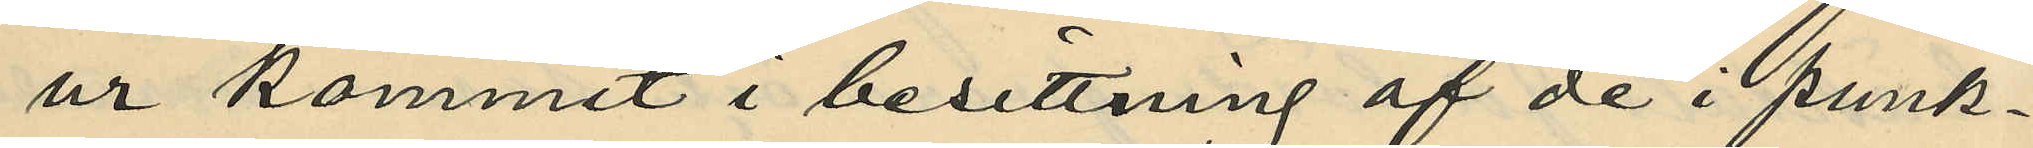ur kommit i besittning af de i punk¬
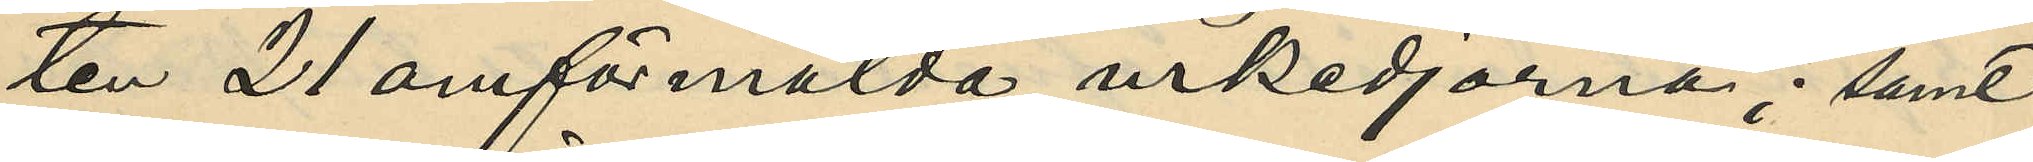ten 21 omförmälda urkedjorna; samt
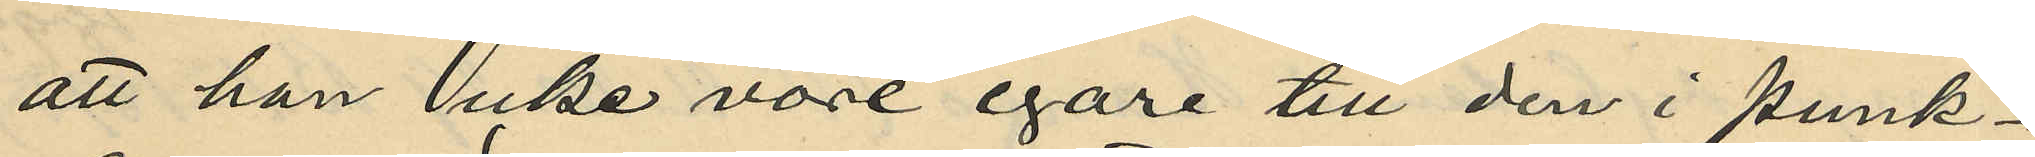att han icke vore egare till den i punk¬
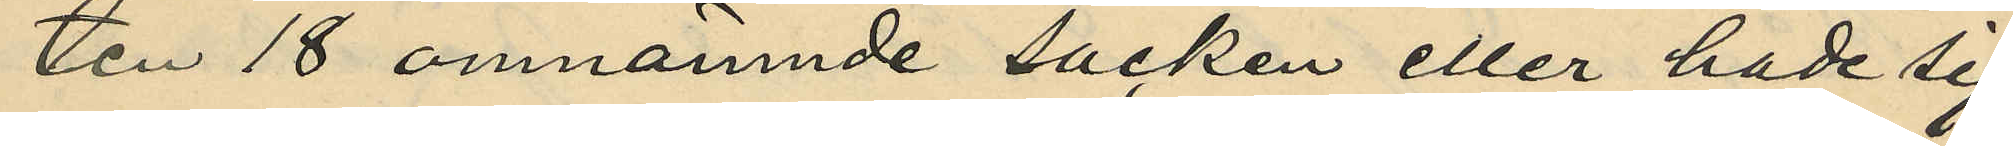ten 18 omnämnde säcken eller hade sig
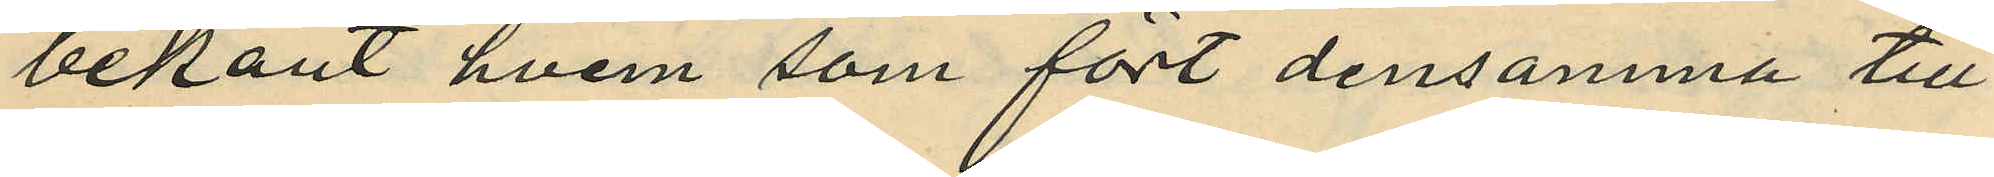bekant hvem som fört densamma till
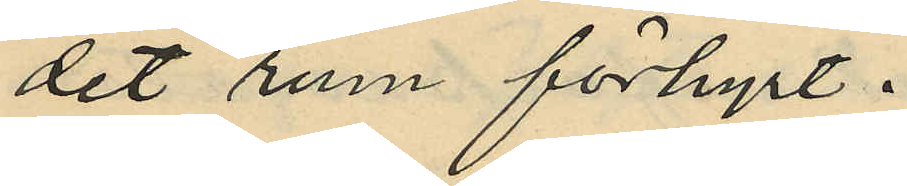det rum förhyrt.
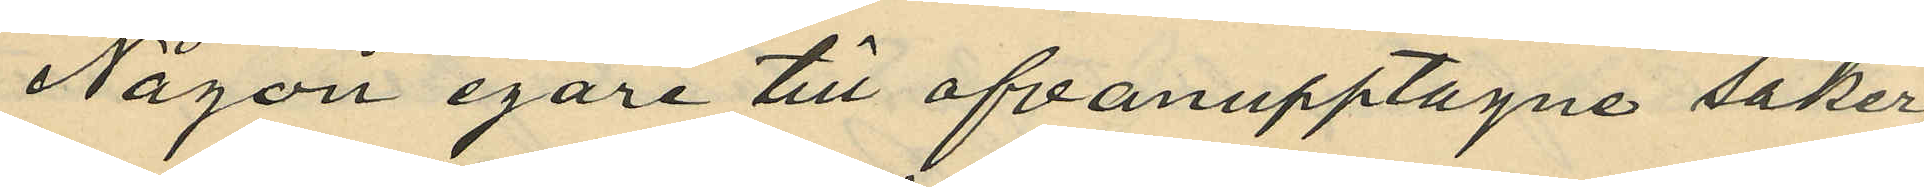Någon egare till ofvanupptagne saker,
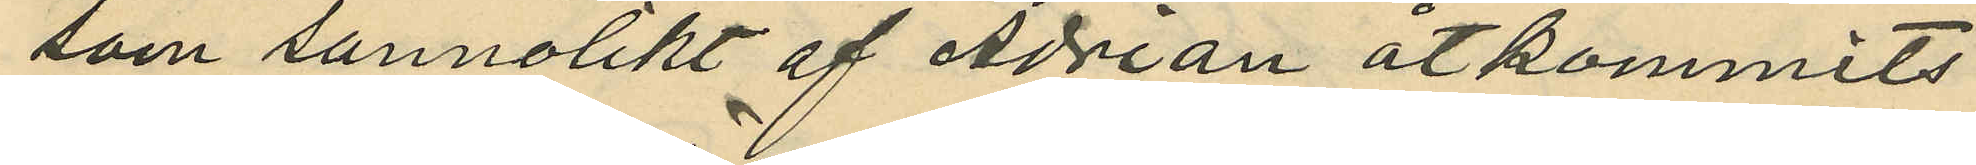som sannolikt af Adrian åtkommits
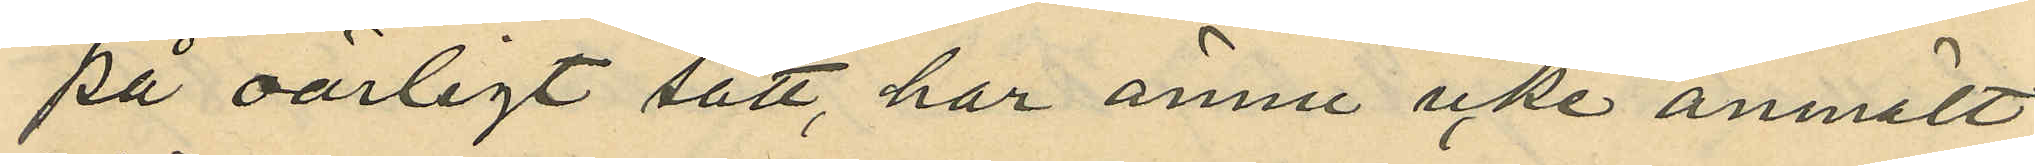på oärligt sätt, har ännu icke anmält
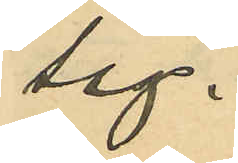sig.
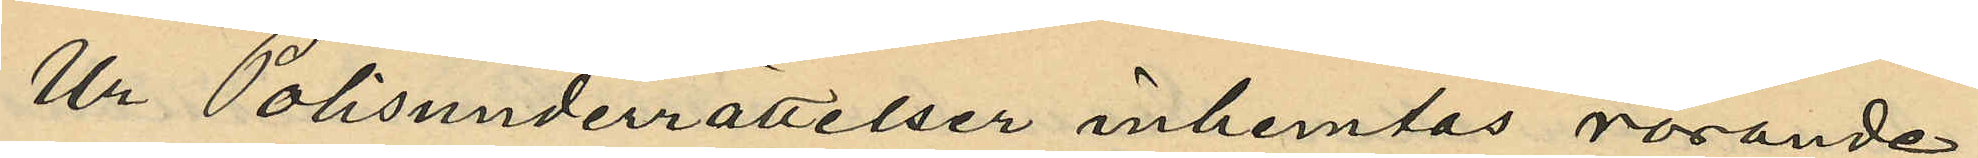Ur Polisunderrättelser inhemtas rörande
